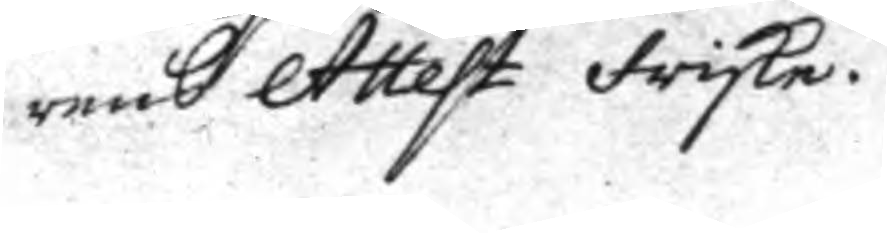rens Attest friska.
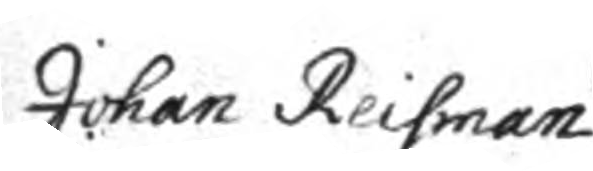Johan Reisman
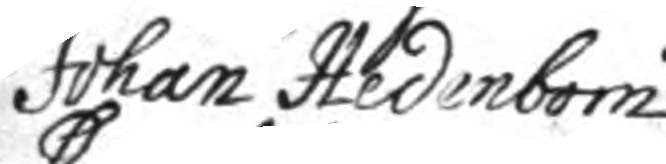Johan Hedenbom.
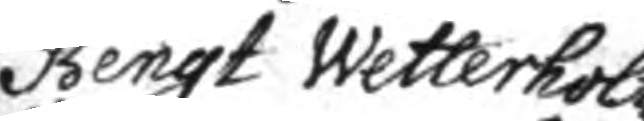Bengt Wetterholtz
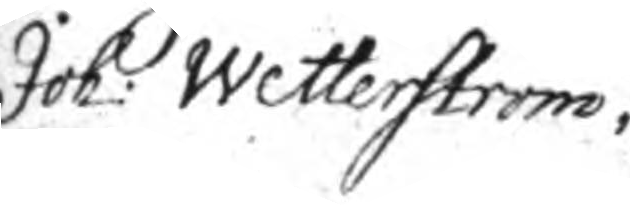Joh: Wetterström.
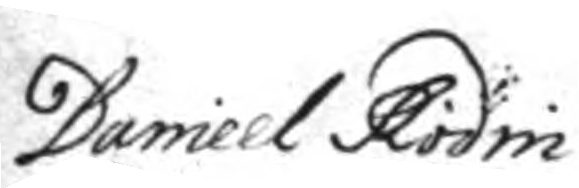Daniel Rodin
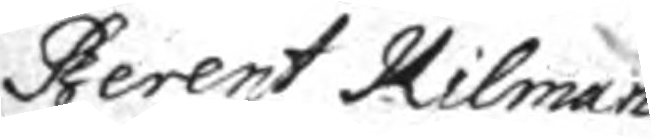Berent Kilman
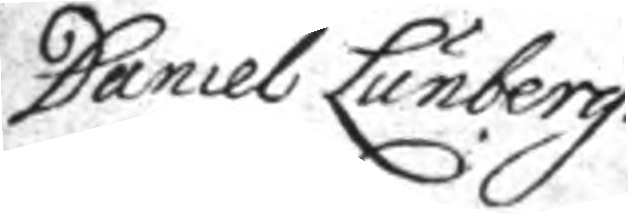Daniel Lunberg.
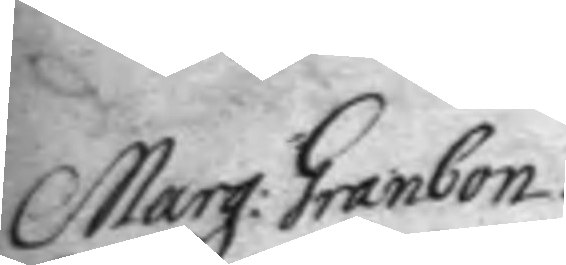Marg: Granbom
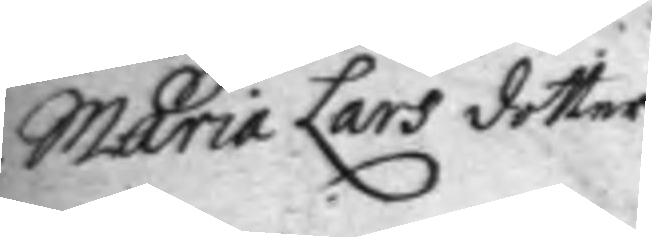Maria Lars dotter.
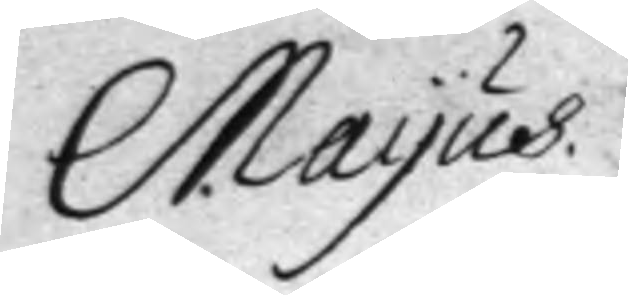Mayus.
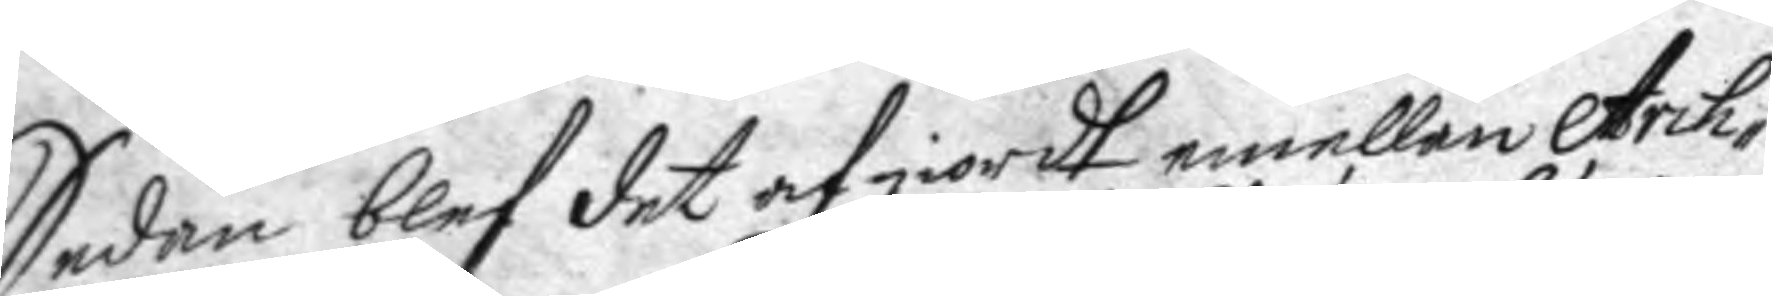Sedan blef det af giordt emellan Arch¬
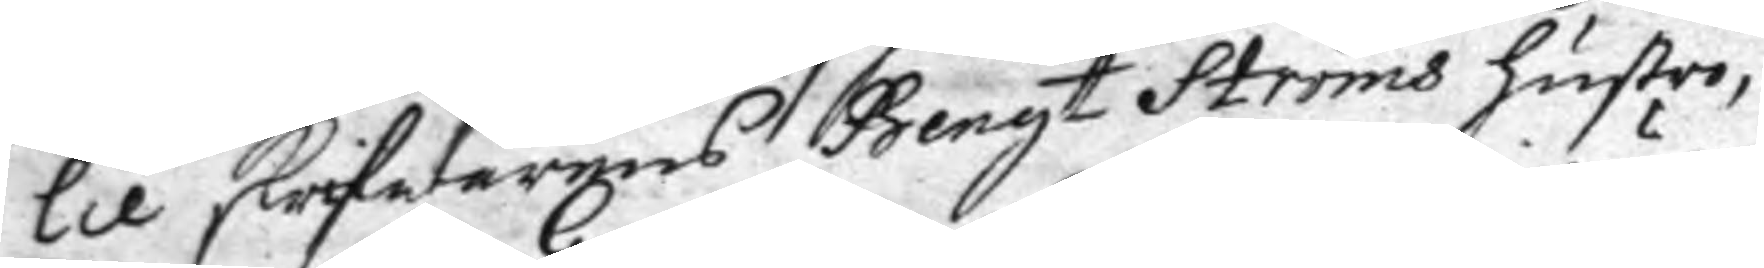lie skrifwarens Bengt Ströms hustro,
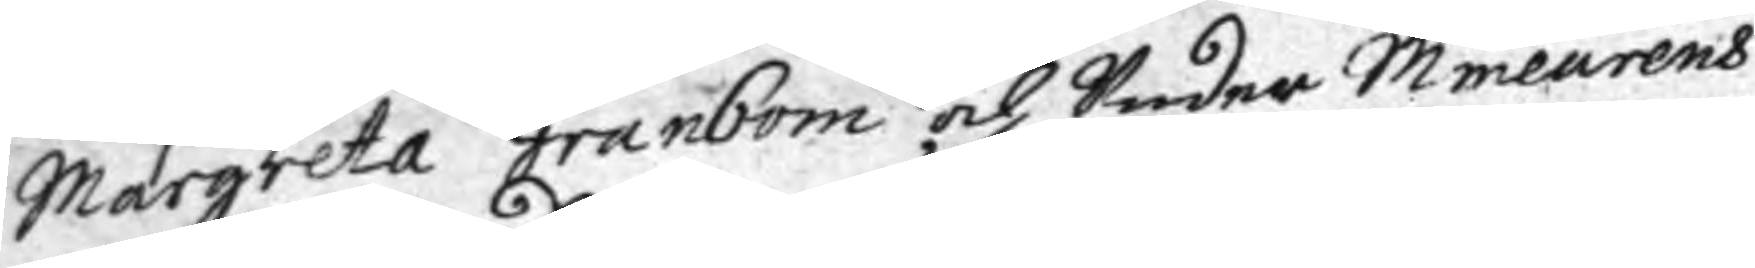Margareta Granbom och Under Mineurens
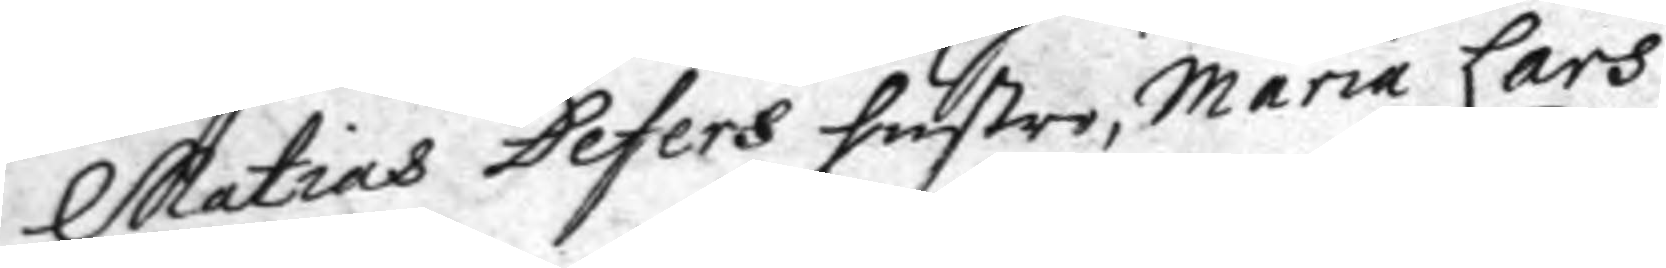Matias Defers hustro Maria Lars
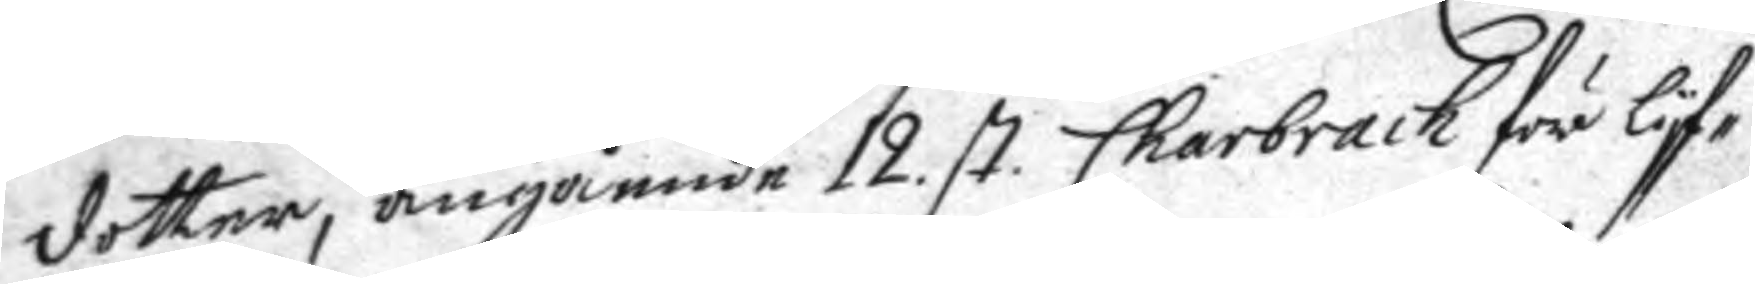dotter, angående 12. st. Charbrach för Lyf¬
